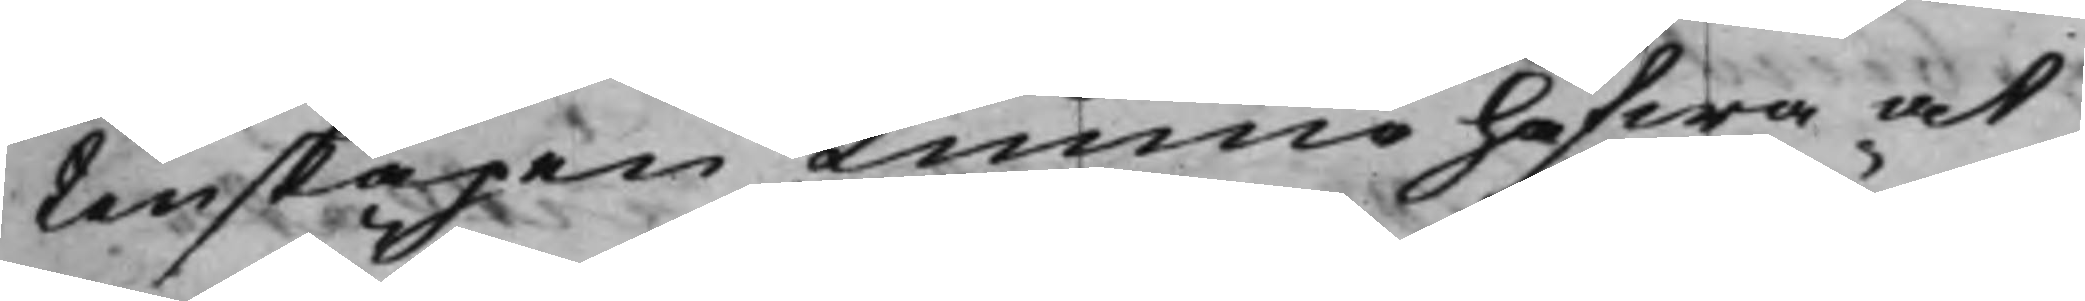tenskapen kunna hafwa at
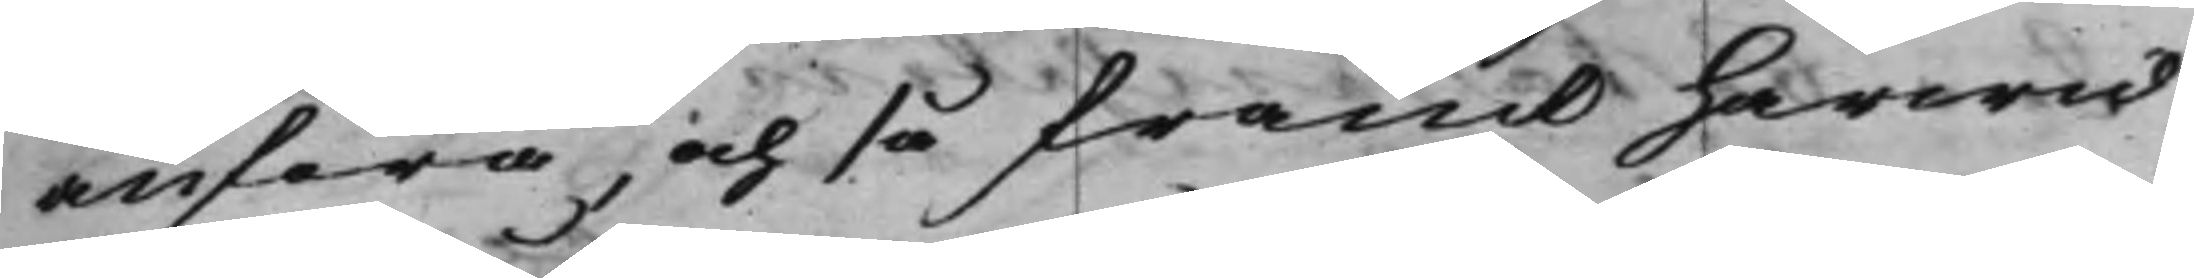anföra, och så framt härwid
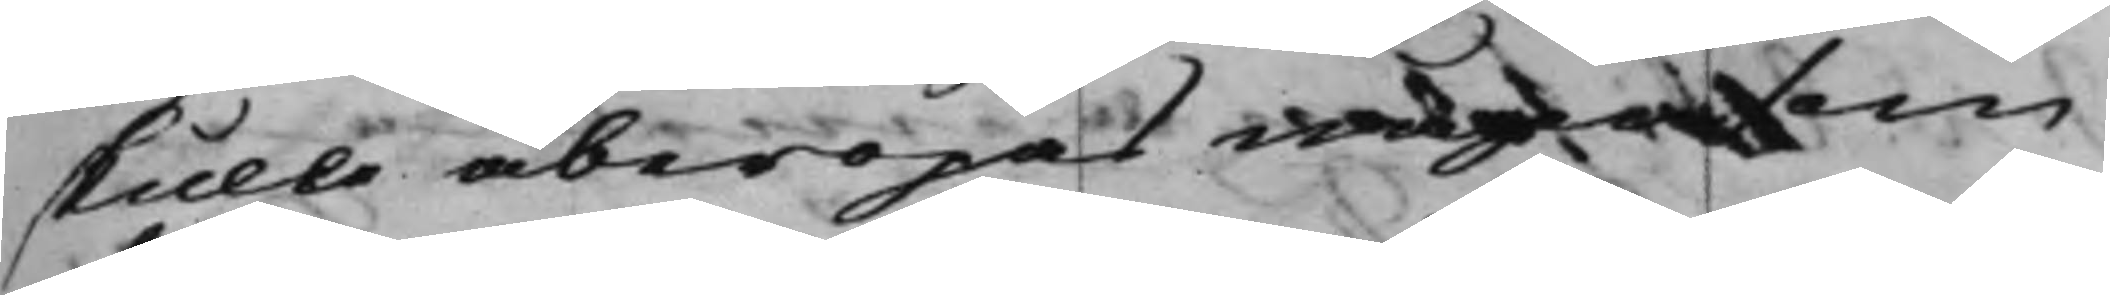skulle åberopas någon som
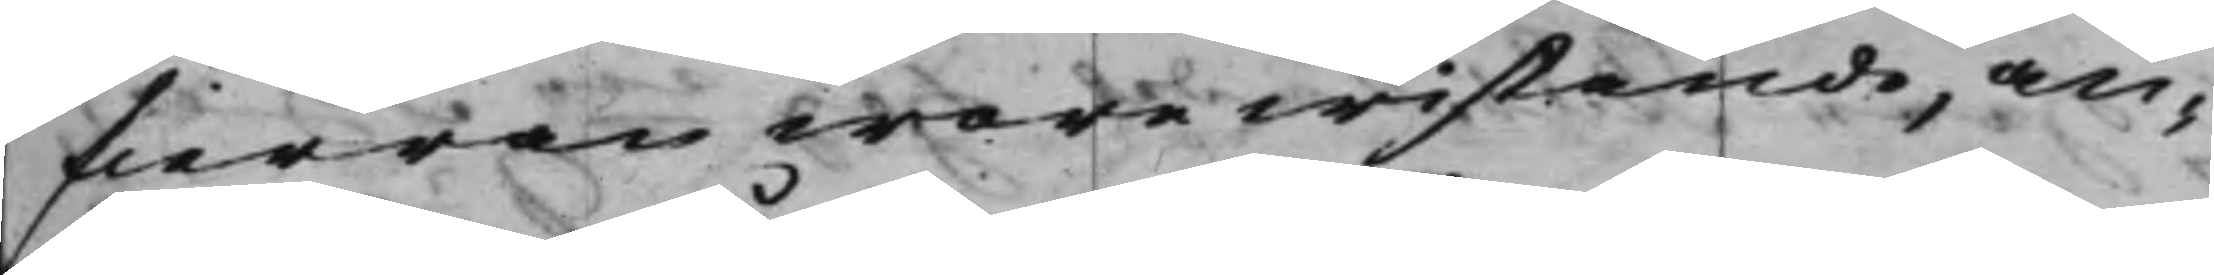fierran wore wistande, an¬
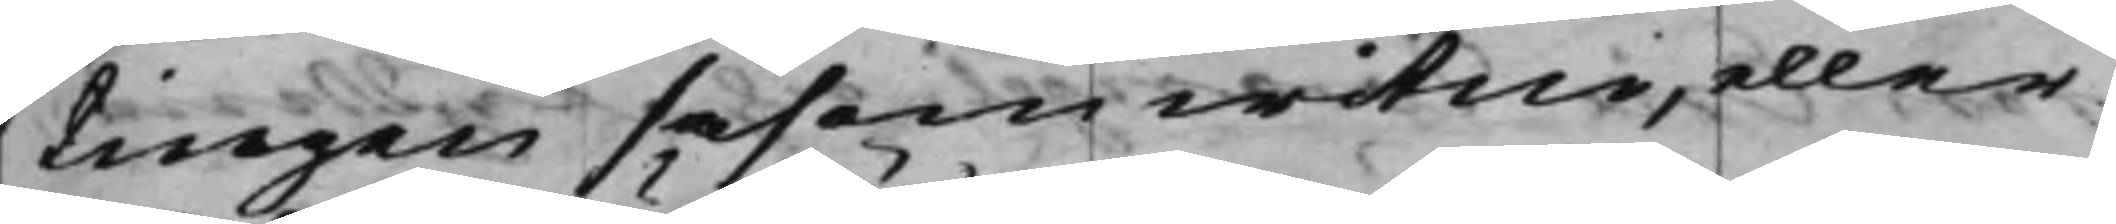tingen såsom witne, eller
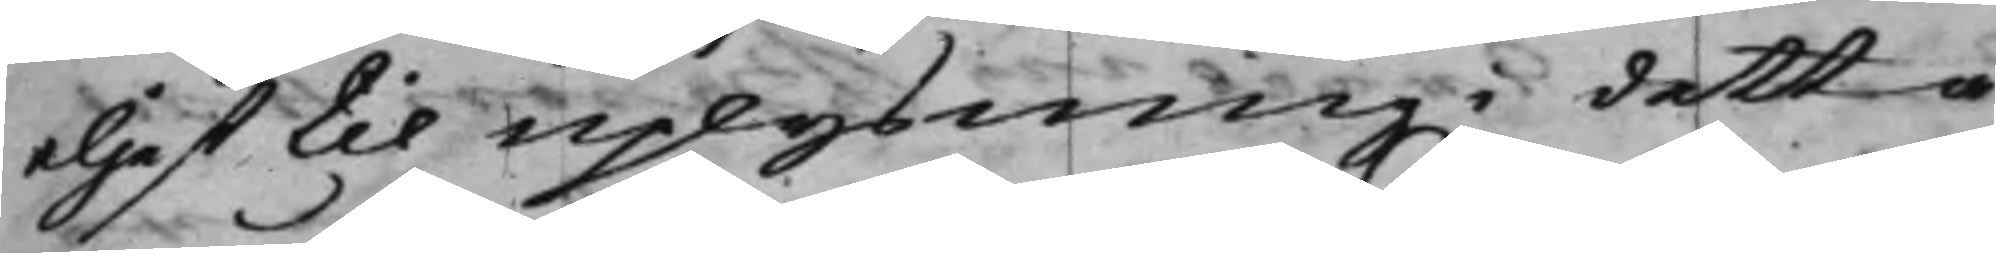eljest til uplysning i detta
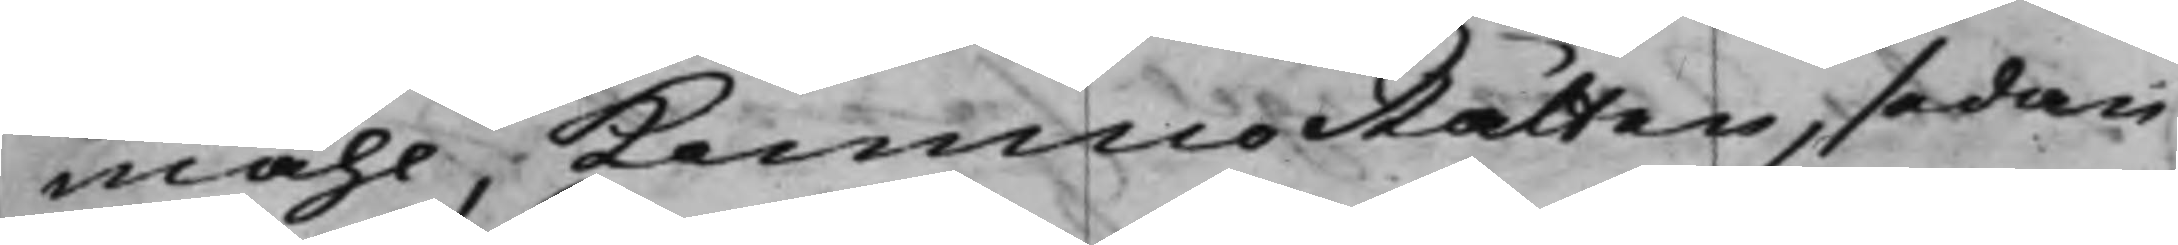måhl, KämnersRätten, sedan
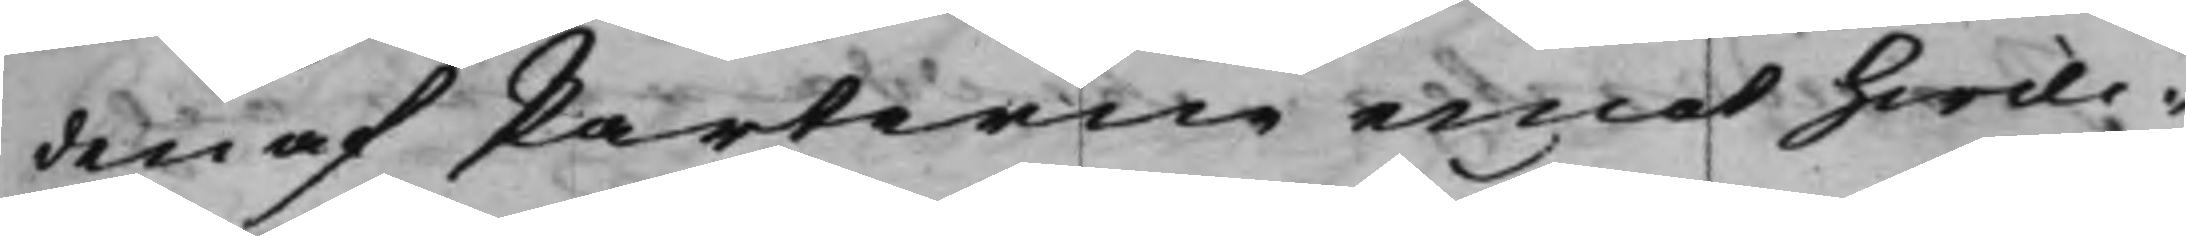den af Parterne emot hwil¬
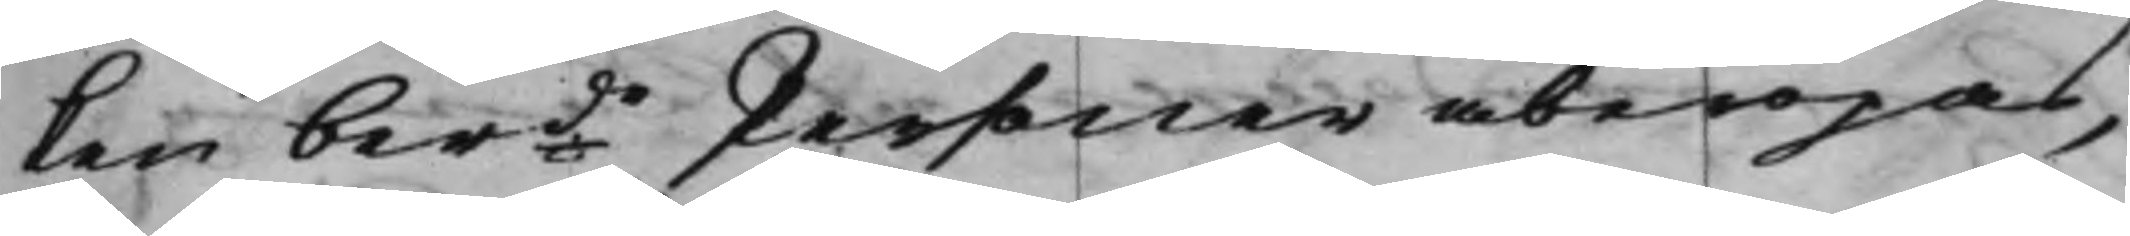ken berde Personer åberopas,
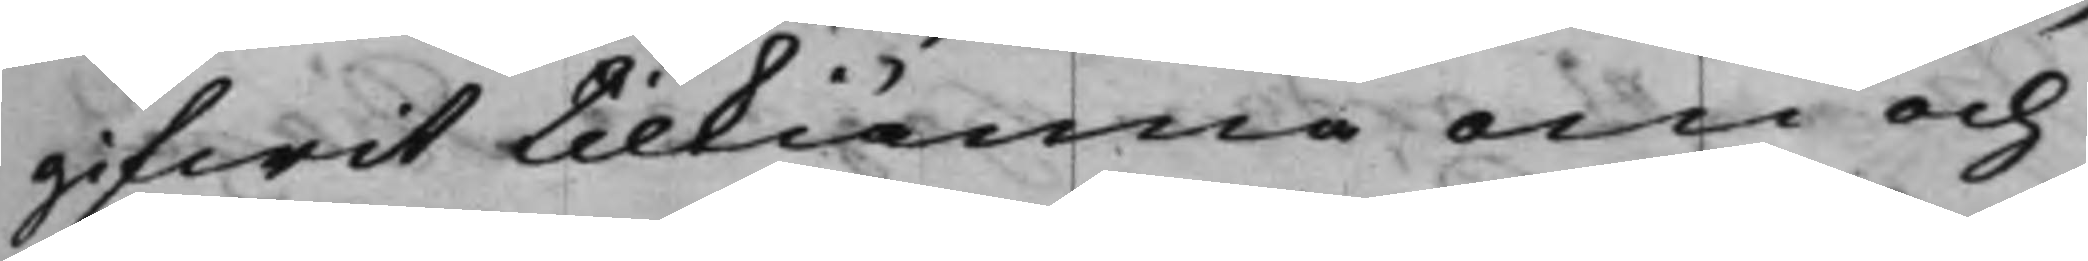gifwit tilkiänna om och
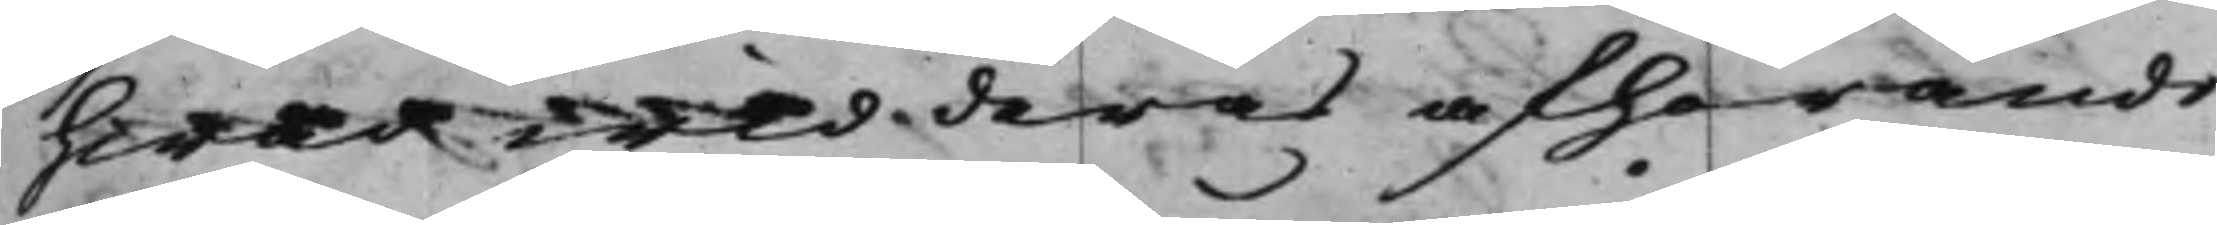hwad wid deras afhörande
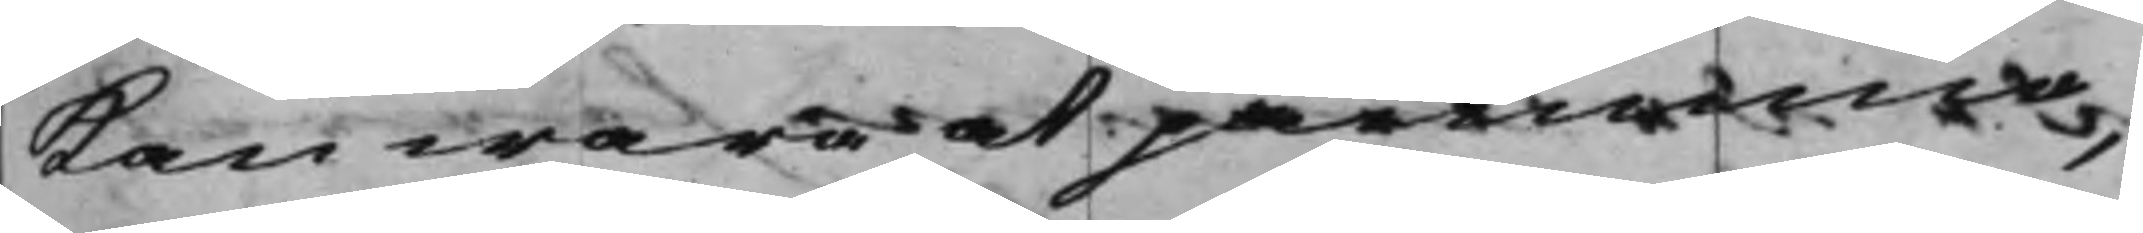kan wara at påminna,
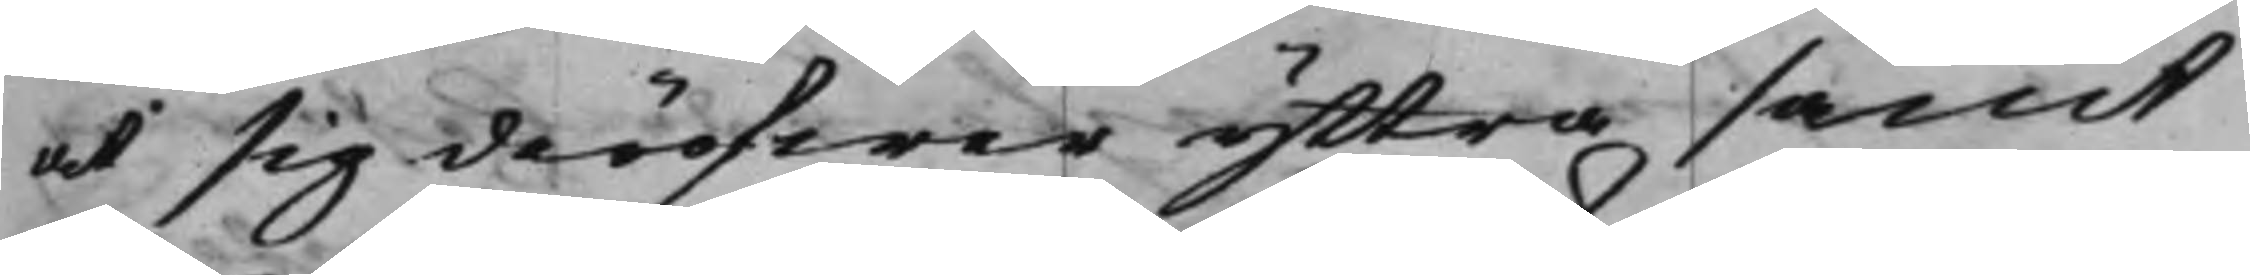at sig deröfwer yttra samt
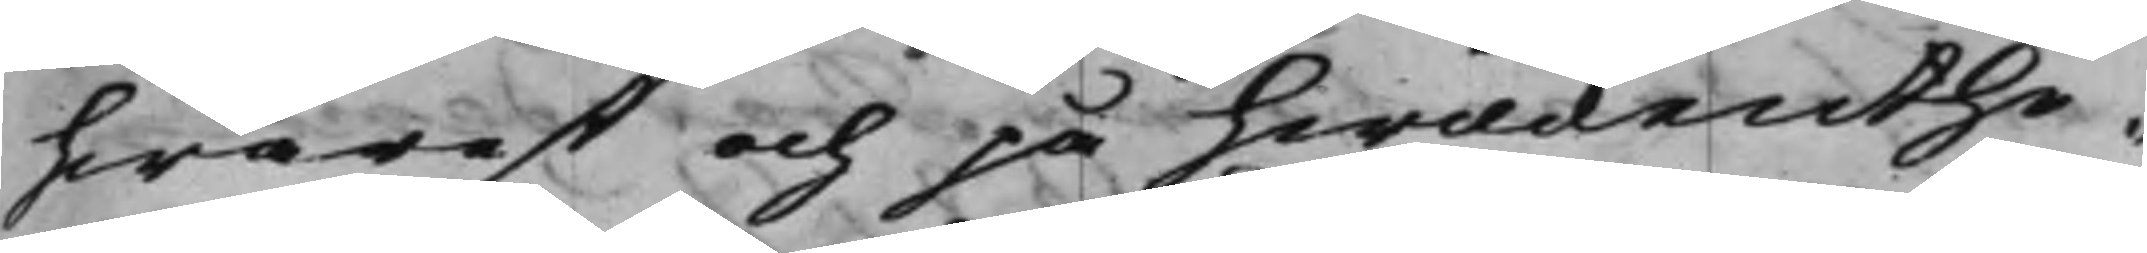hwarest och på hwilckenthe¬
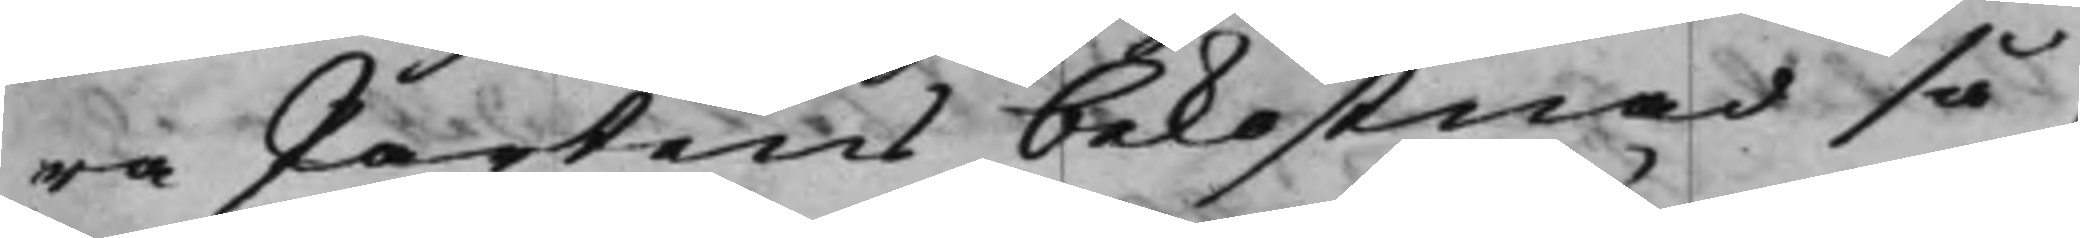ra Partens bekostnad så¬
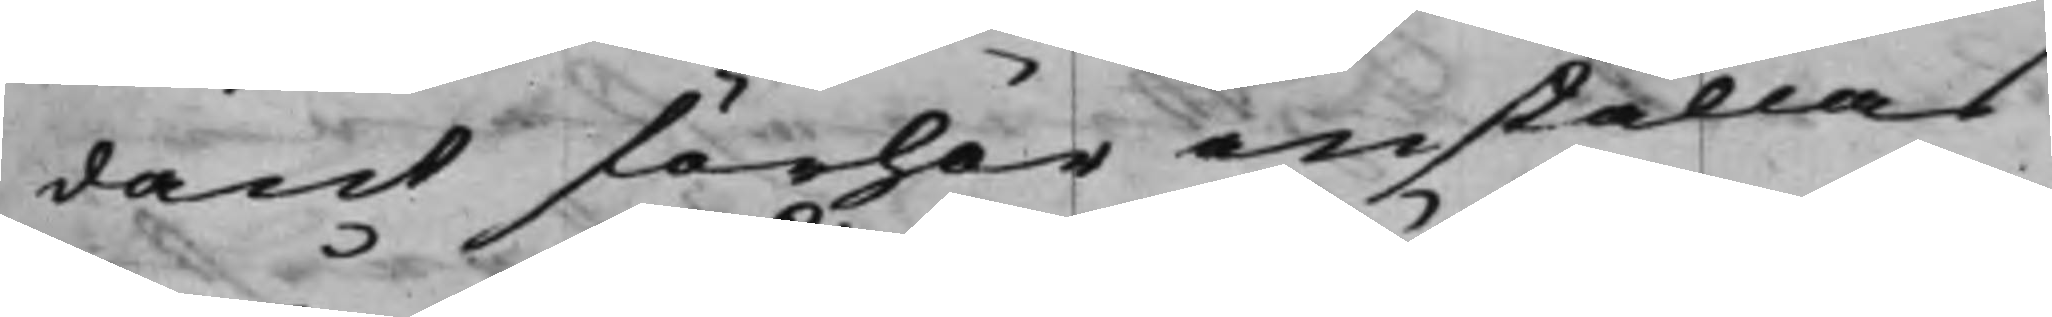dant förhör anställas
